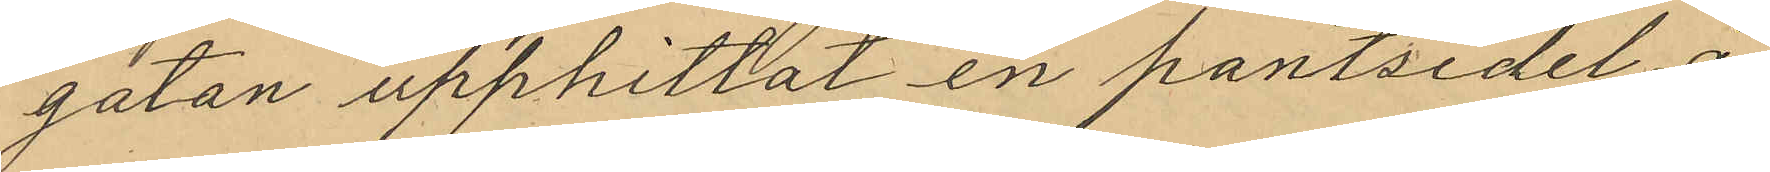gatan upphittat en pantsedel å
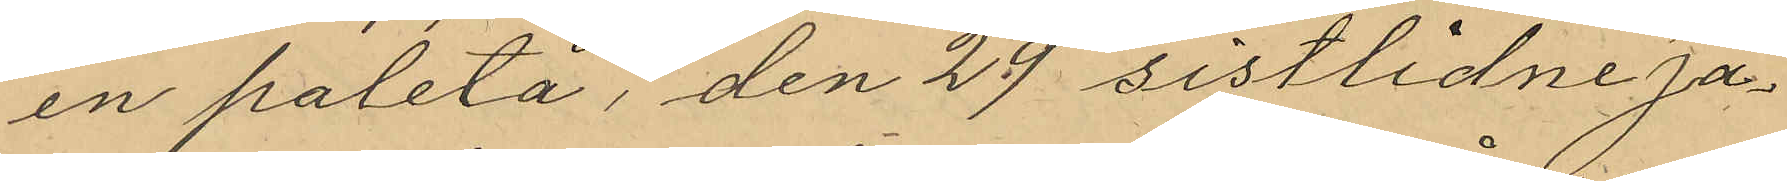en paletå, den 29 sistlidne Ja¬
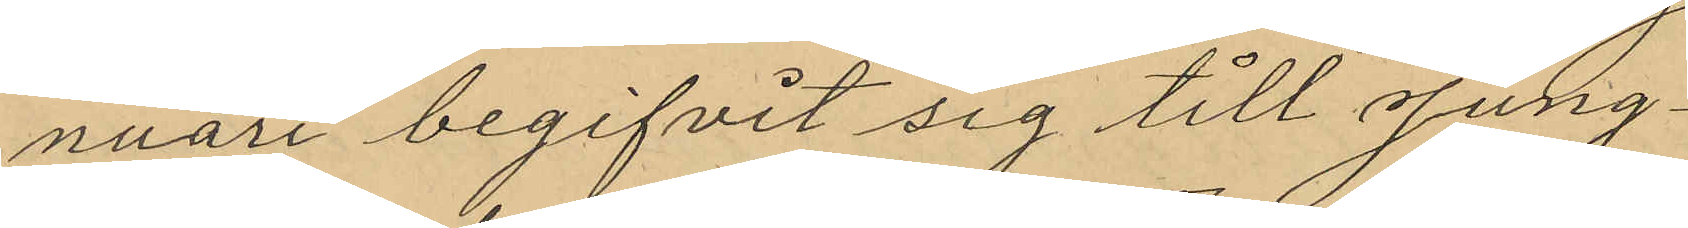nuari begifvit sig till Jung¬
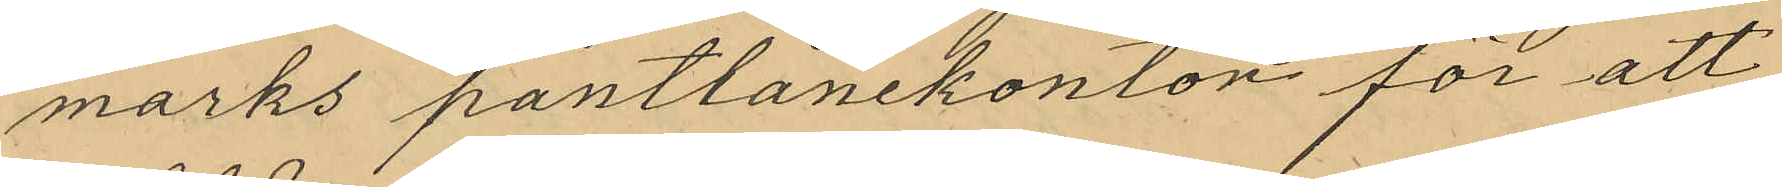marks pantlånekonton för att
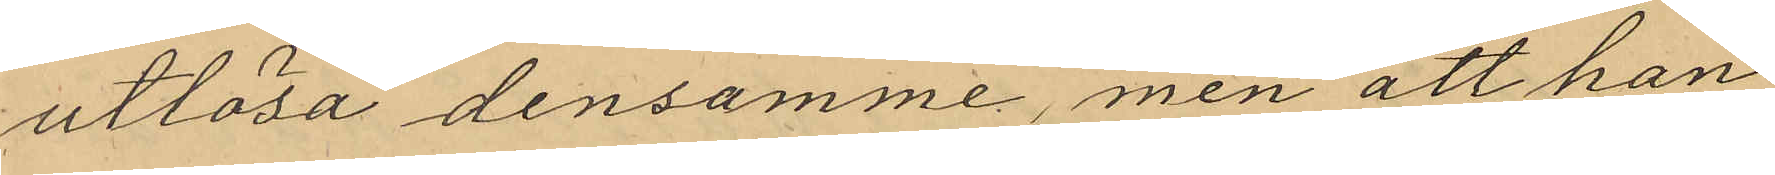utlösa densamme, men att han
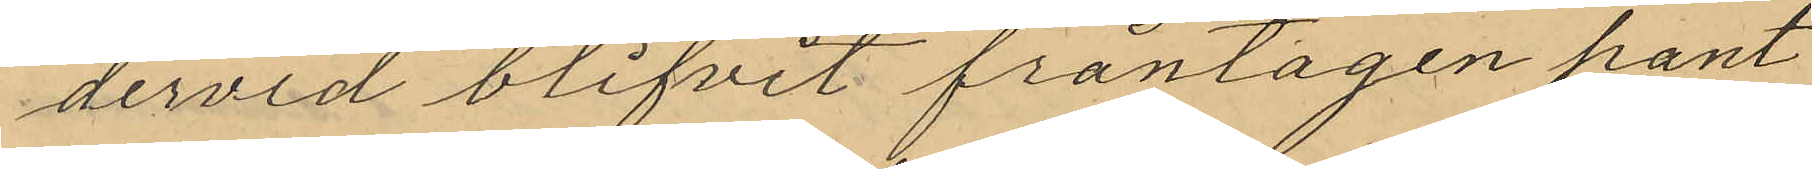dervid blifvit fråntagen pant¬
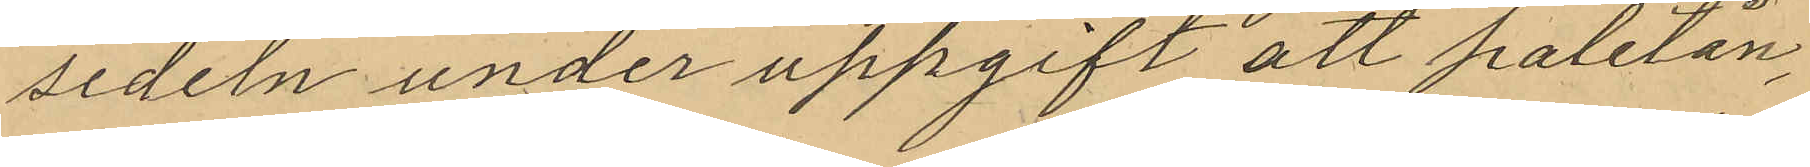sedeln under uppgift att paletån,
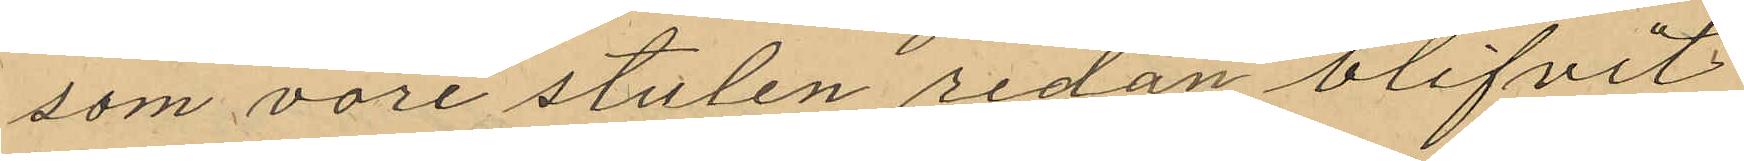som vore stulen redan blifvit
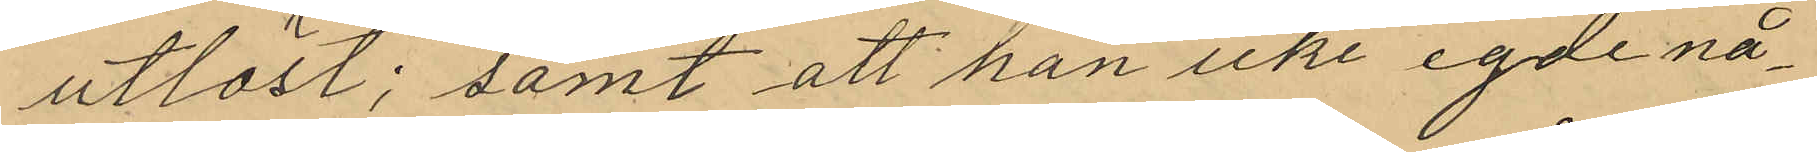utlöst; samt att han icke egde nå¬
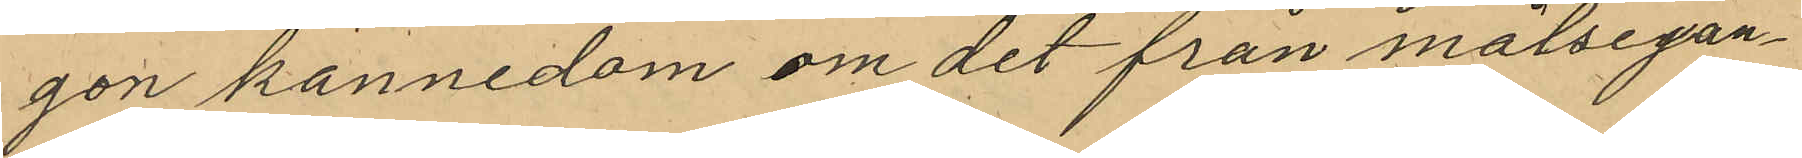gon kännedom om det från målsegan¬
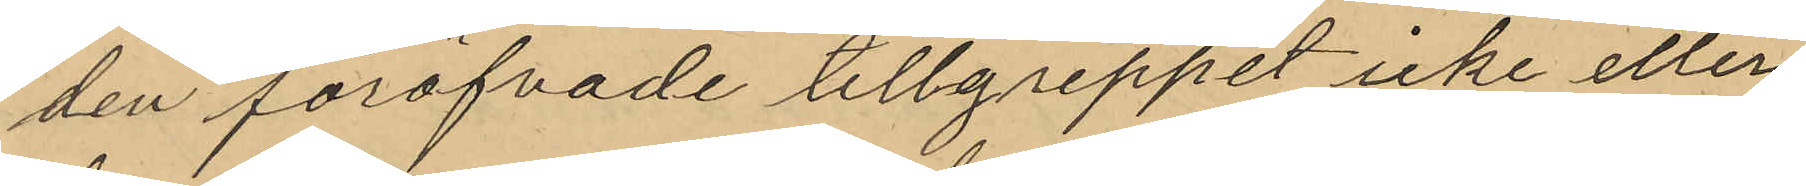den föröfvade tillgreppet icke eller
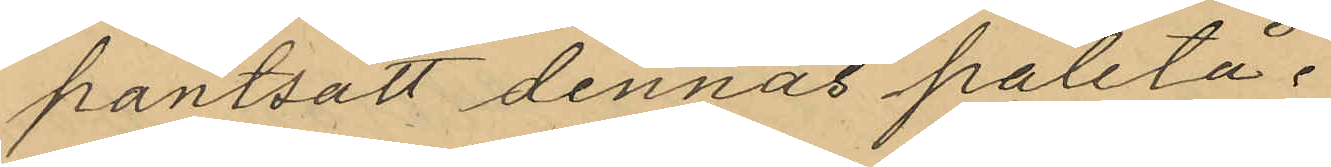pantsatt dennas paletå.
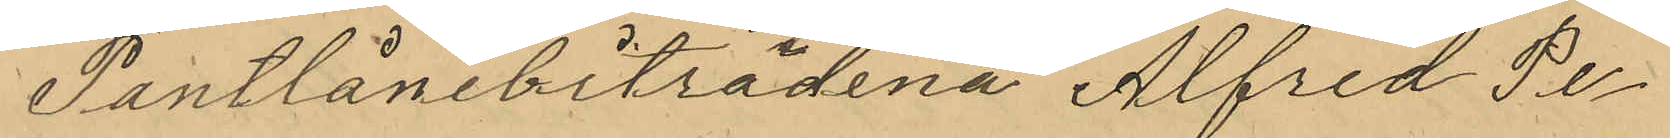Pantlånebiträdena Alfred Pe¬
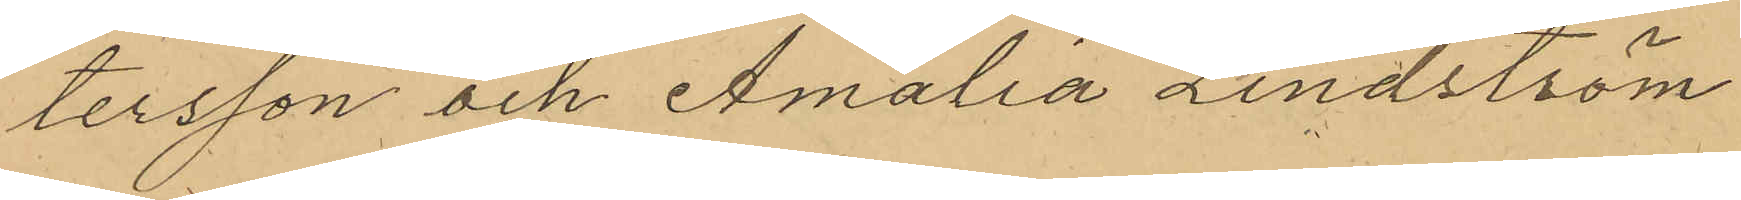tersson och Amalia Lindström
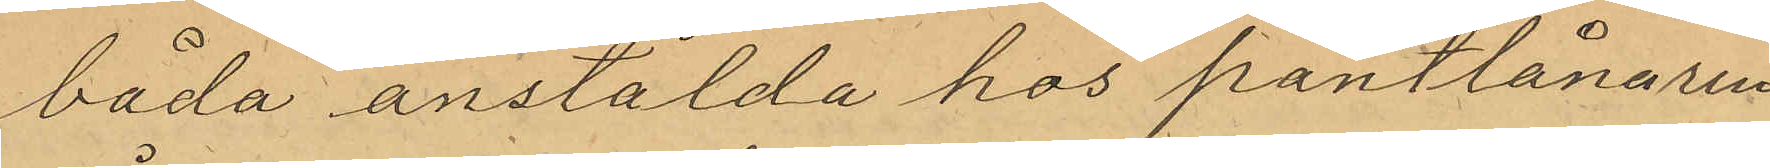båda anstälda hos pantlånaren
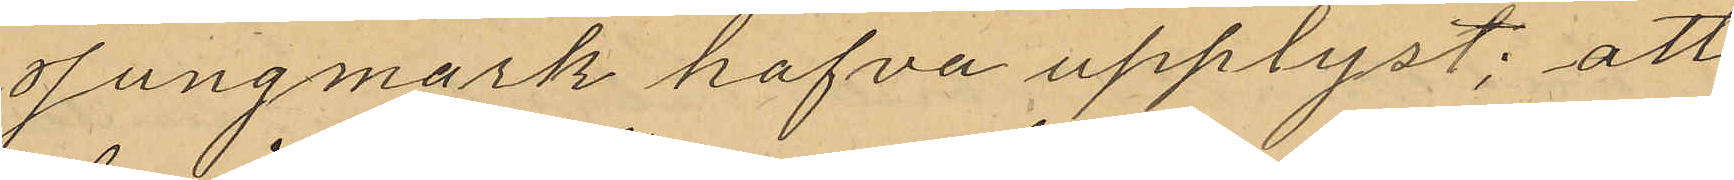Jungmark hafva upplyst; att
